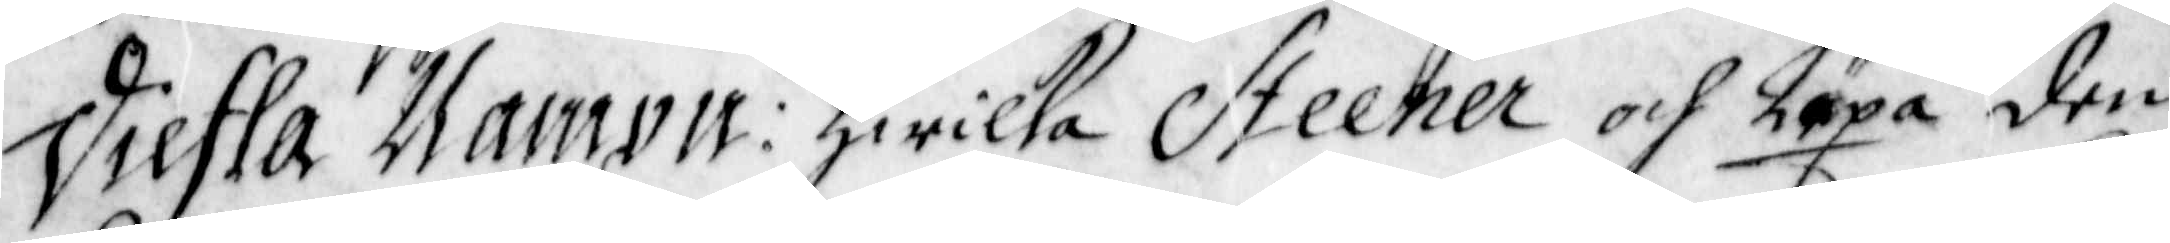Diefla Nampn: Hwilka Steener och Läxa den
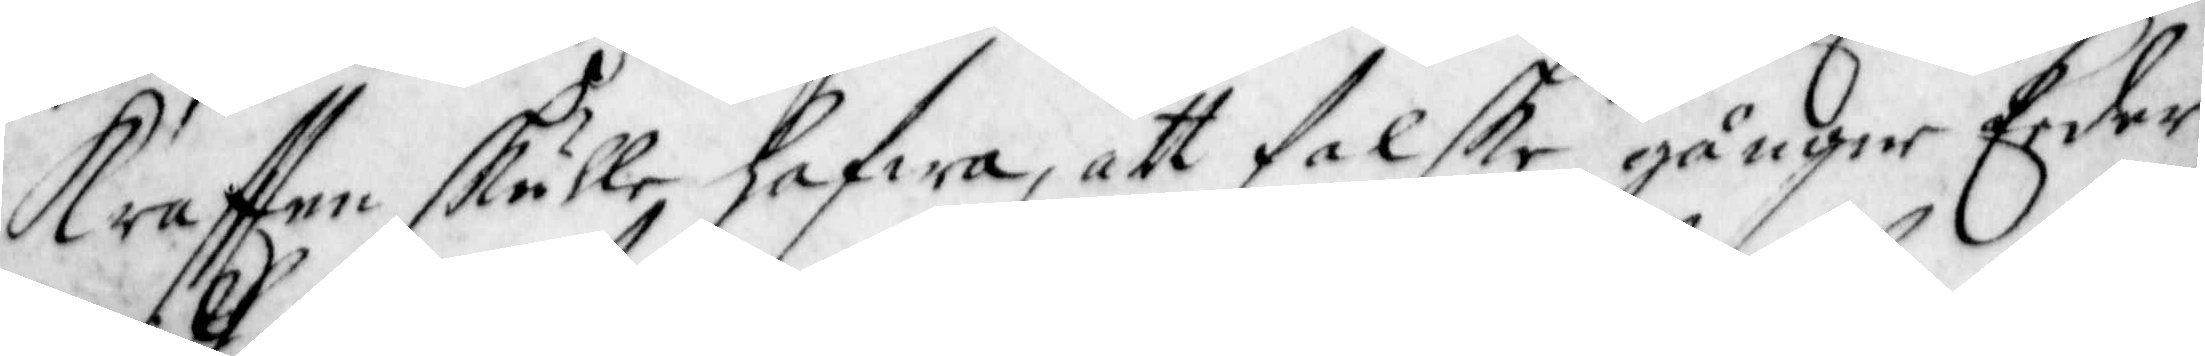Krafften skulle hafwa, att falske gångne Eeder
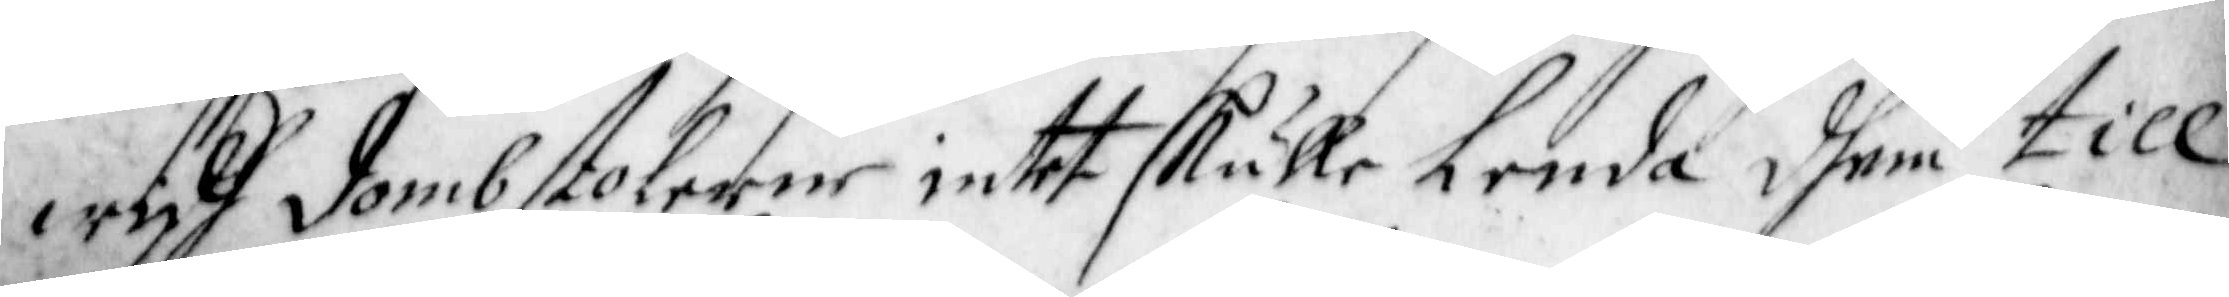widh Dombstolerne intet skulle Lenda dhem till
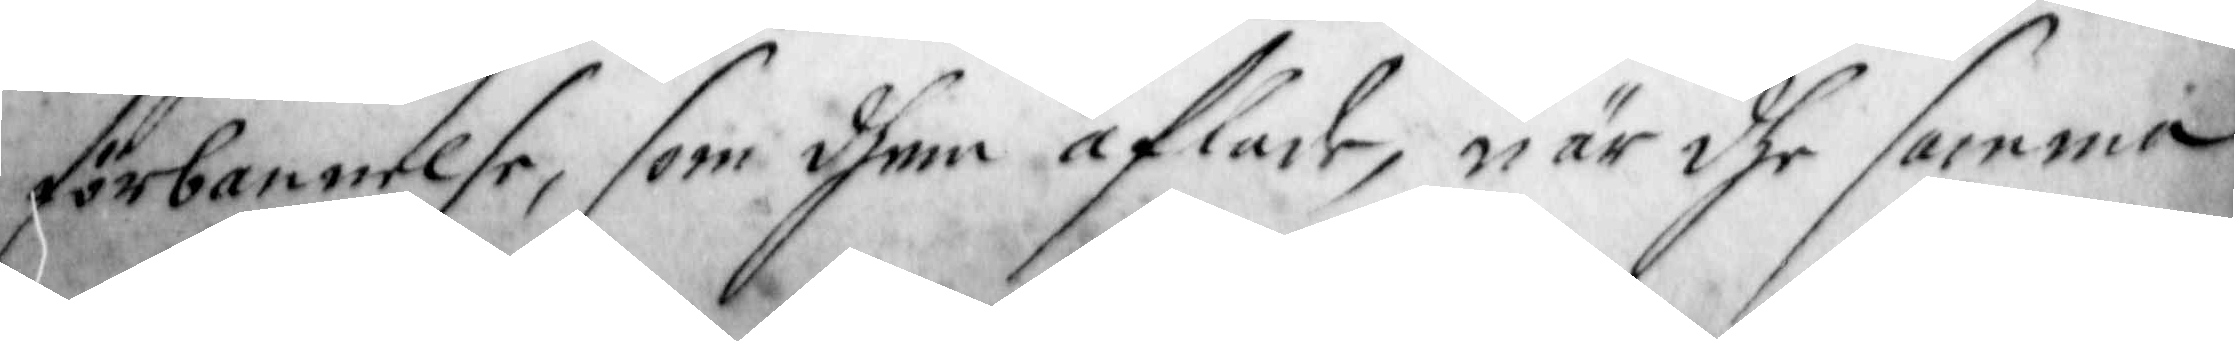förbannelse, som dhem aflade, när dhe samma
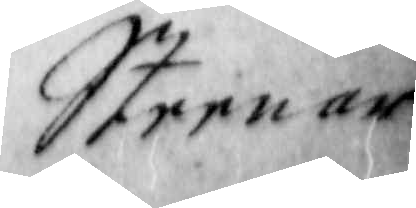Steenar
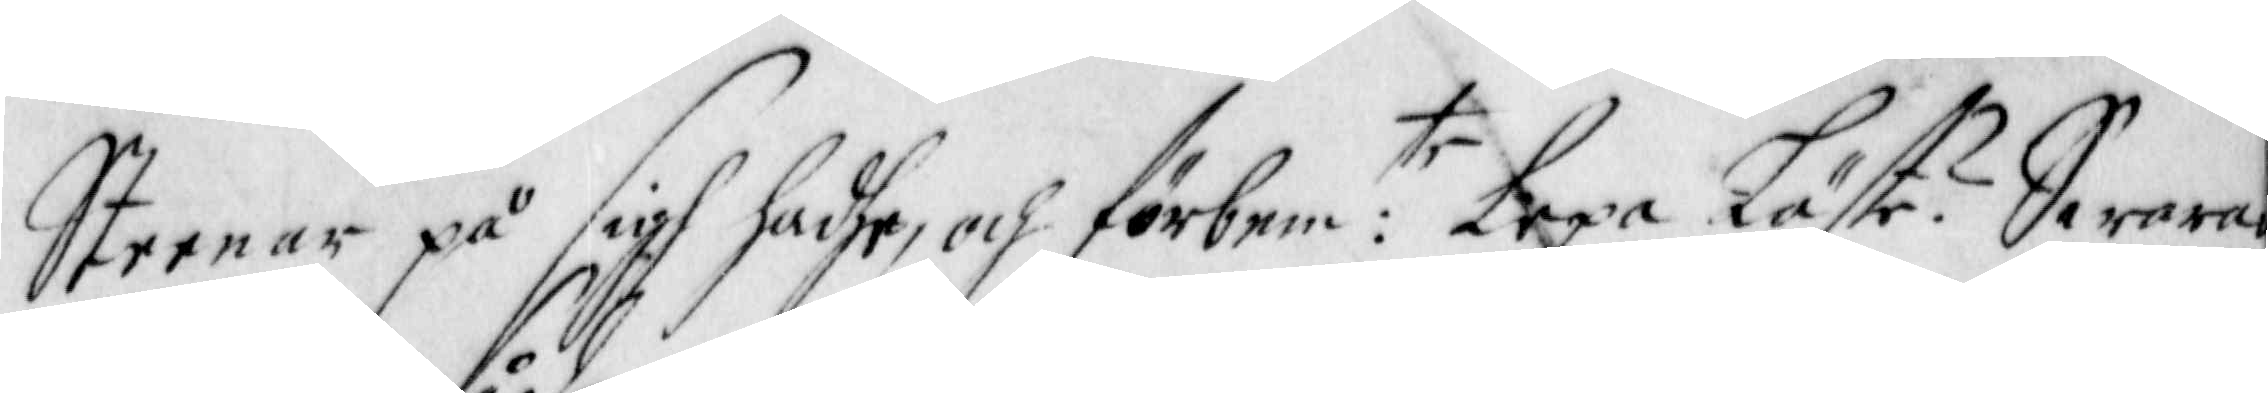Steenar på sigh hadhe, och förbem:te Lexa läste? Swarar
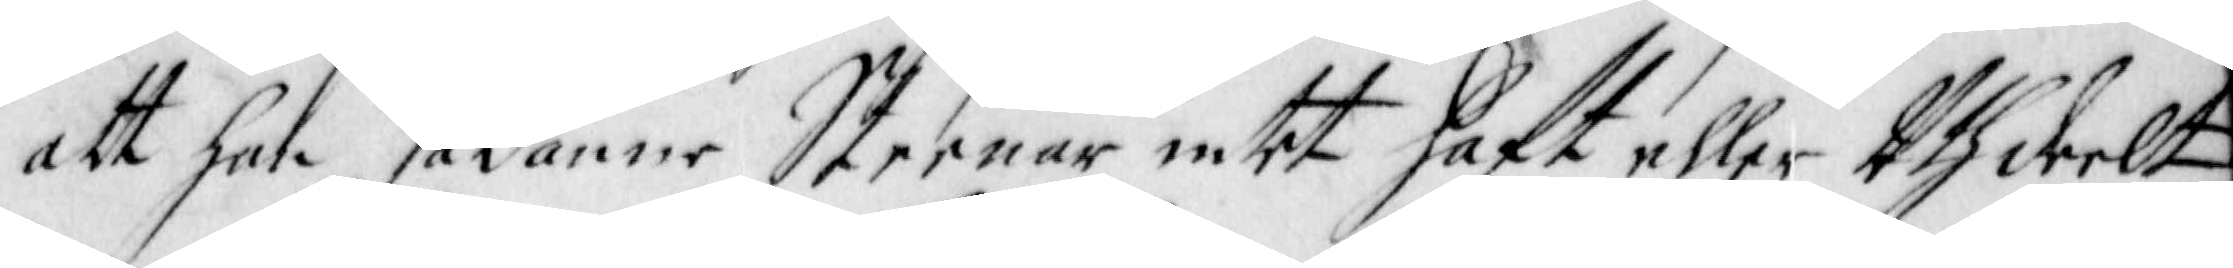att han sådanne Steenar intet haft eller Uthdeelt,
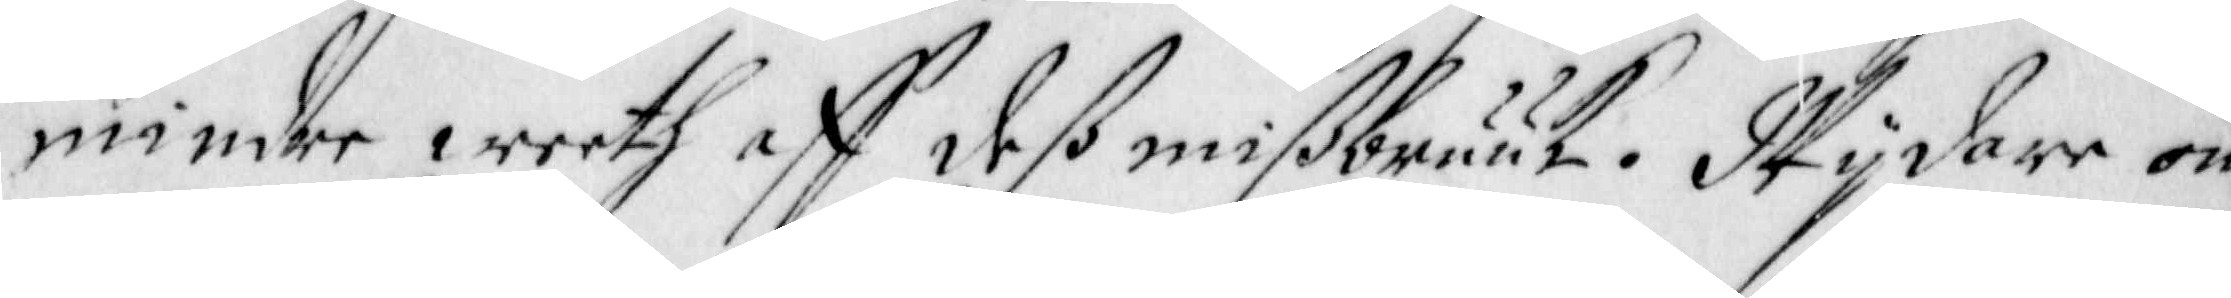mindre weeth aff deß missbruuk. Wijdare om
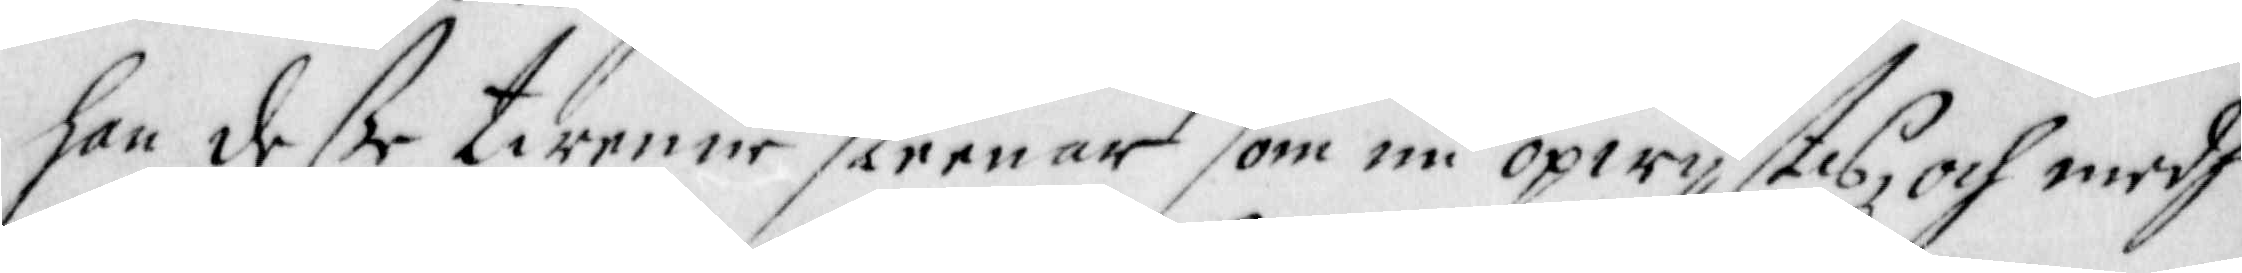han deße twenne steenar som nu opwijstes, och medh
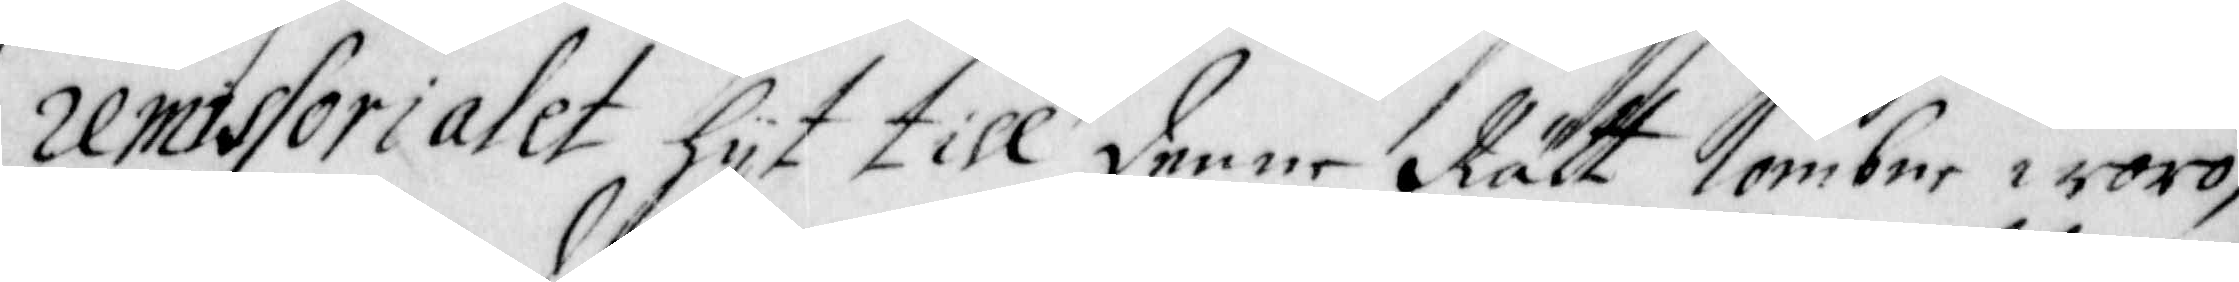remissorialet hijt till denne Rätt kombne woro,
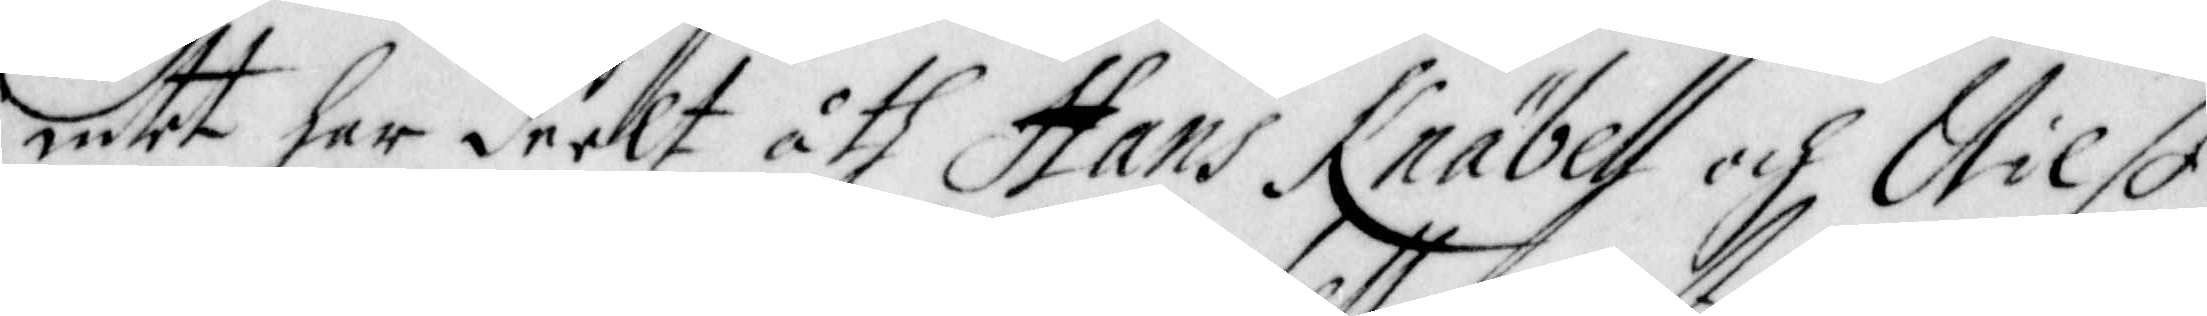intet har deelt åth Hans Knäbell och Nilß
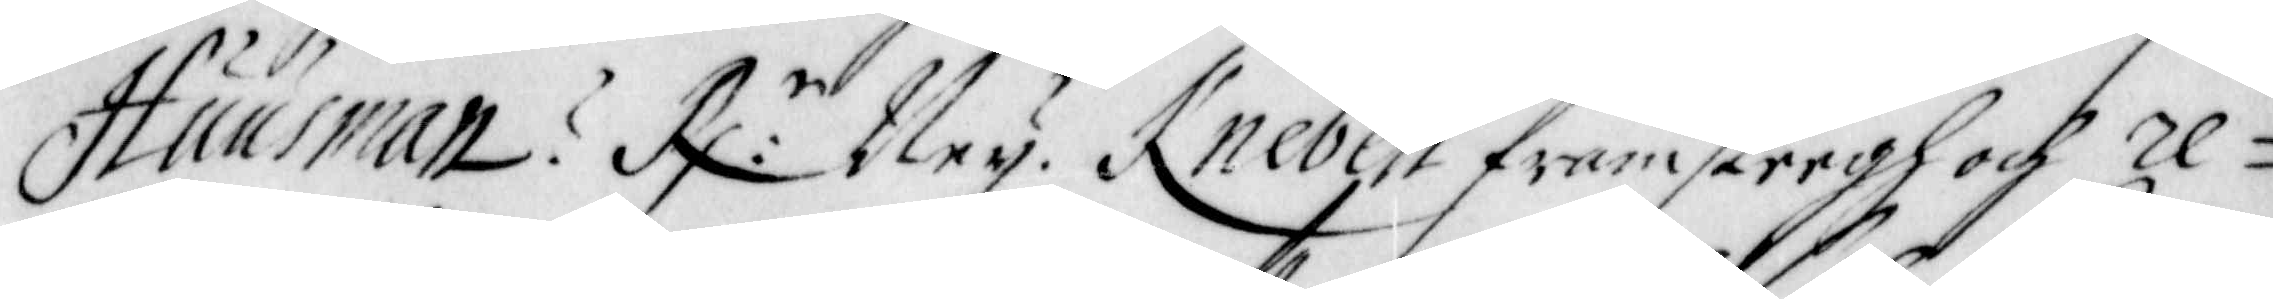Huusman? R:r Ney. Knebell framsteegh och re¬
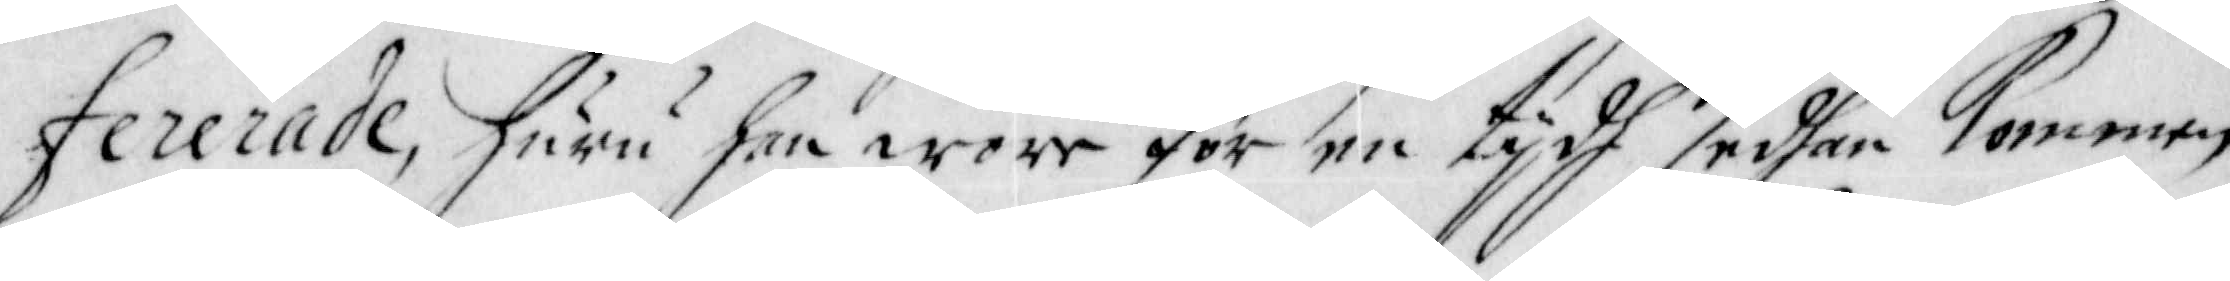fererade, huru han wore för en tijdh sedhan kommen
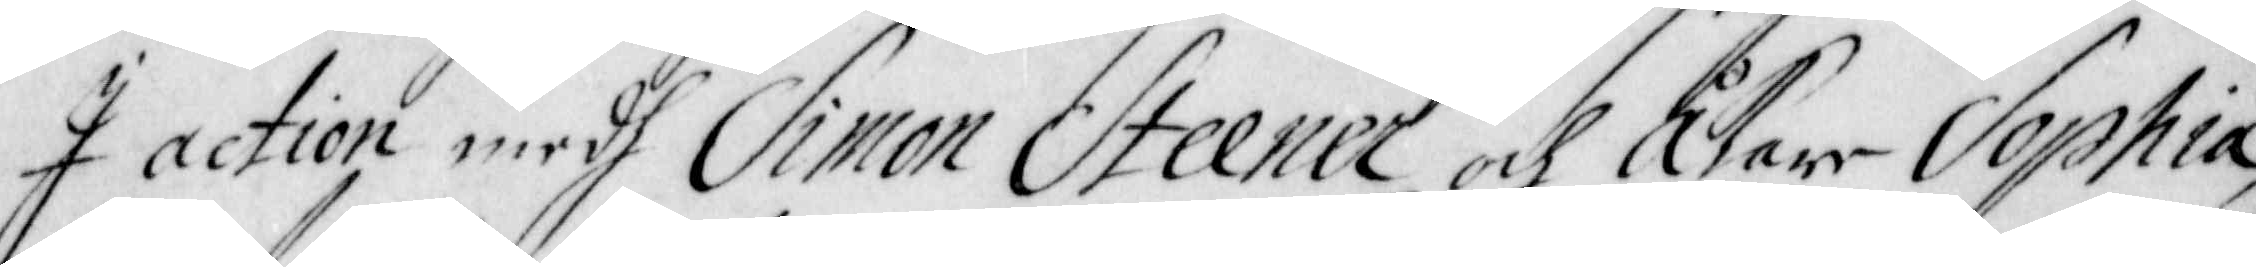I action medh Simon Steener och Åkare Sophia,
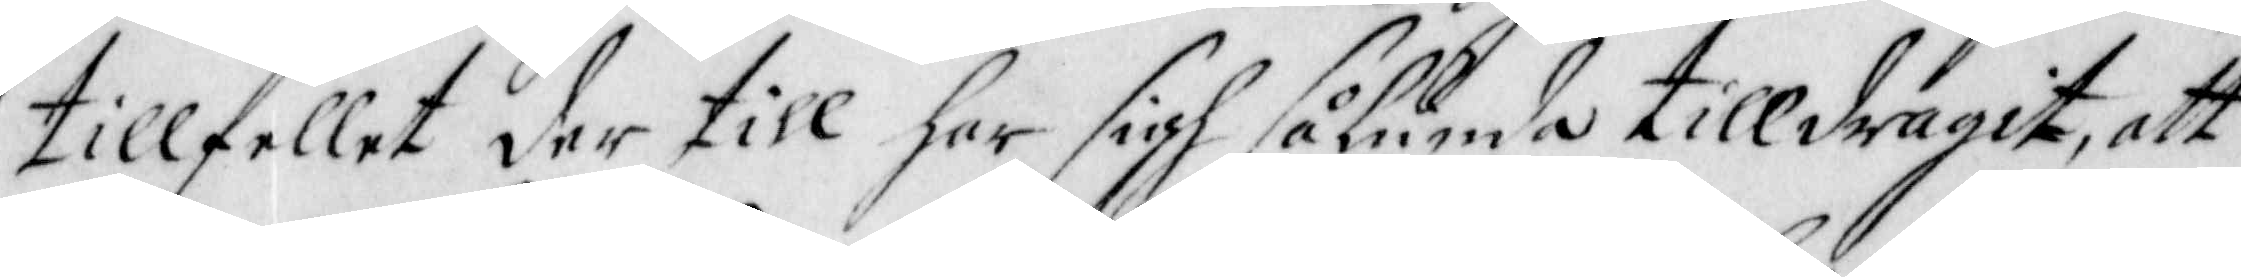tillfellet der till har sigh sålunda tilldragit, att
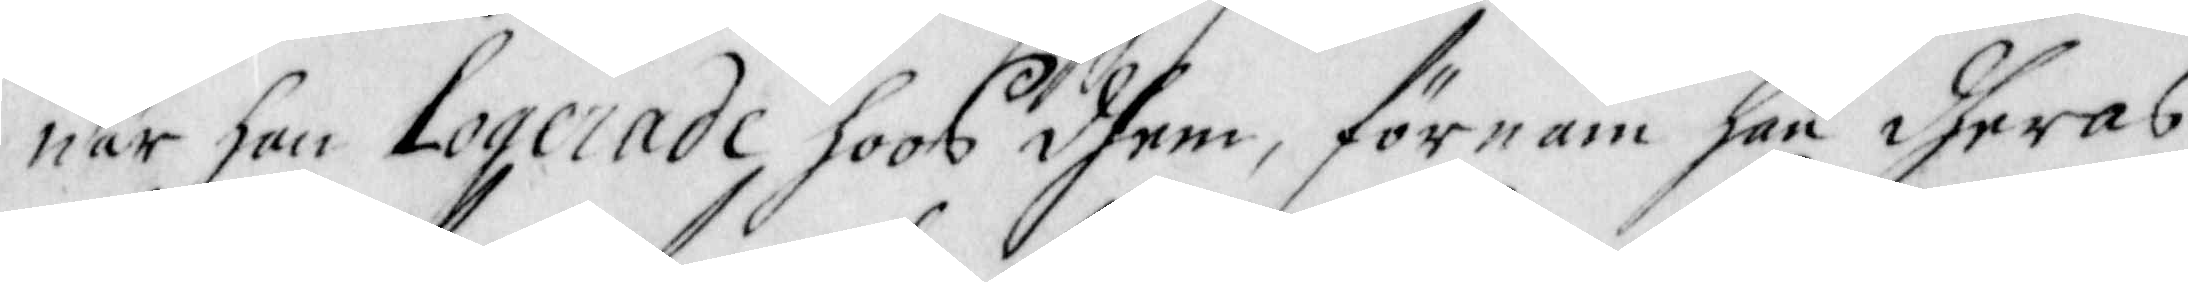när han Logerade hoos dhem, förnam han dheras
